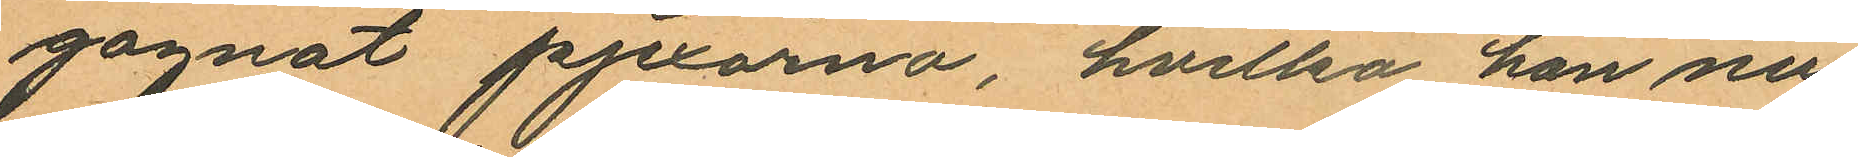gagnat pjexorna, hvilka han nu
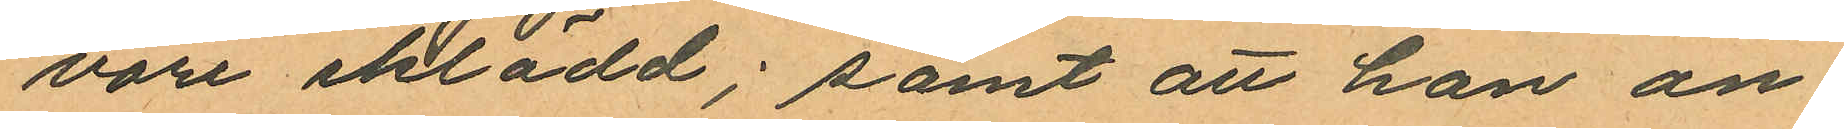vore iklädd; samt att han an¬
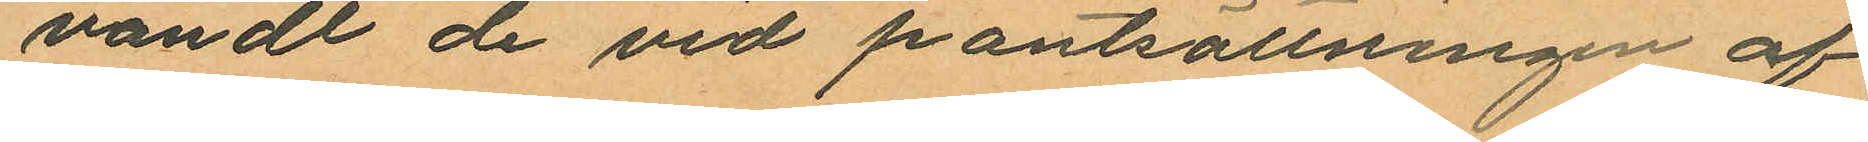vandt de vid pantsättningen af
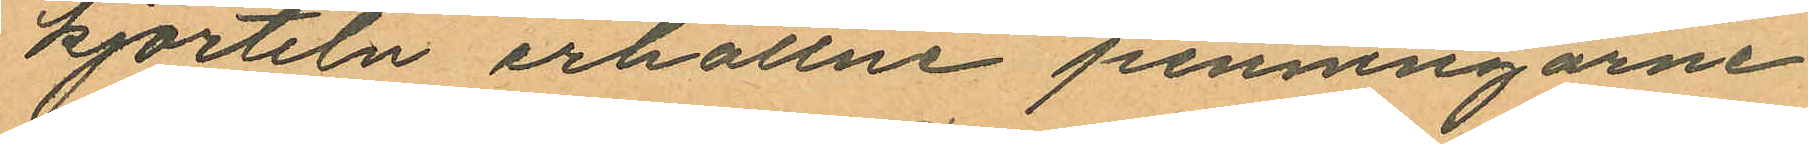kjorteln erhållne penningarne
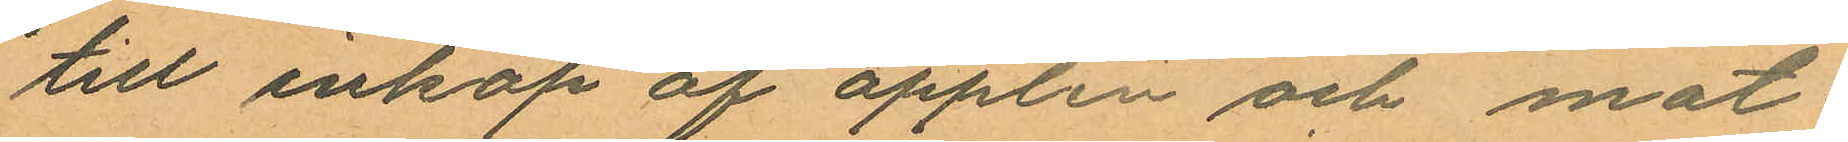till inköp af äpplen och mat¬
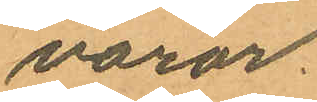varor.
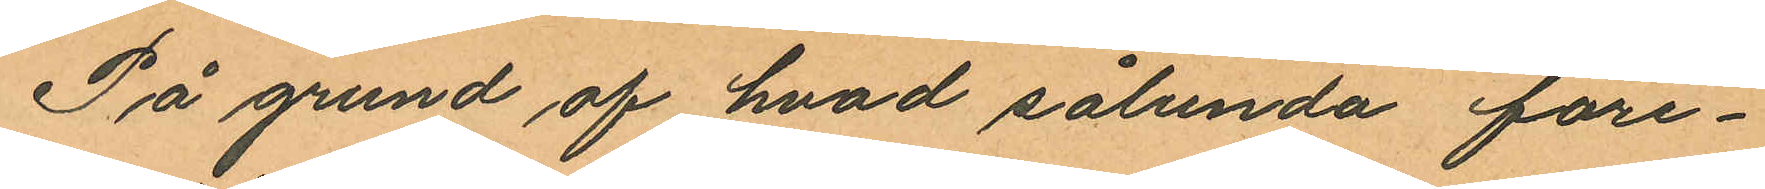På grund af hvad sålunda före¬
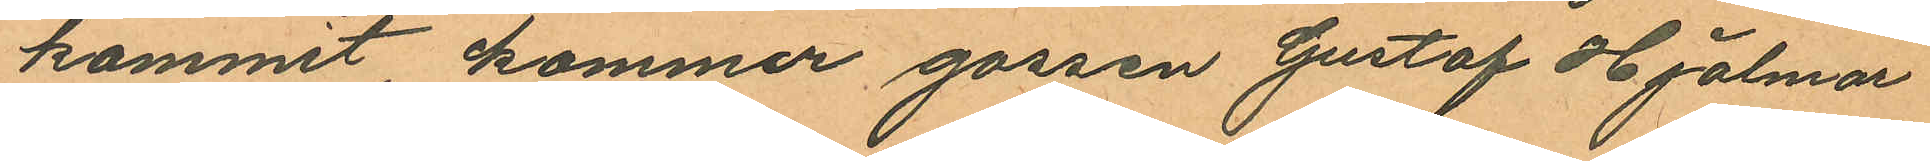kommit kommer gossen Gustaf Hjalmar
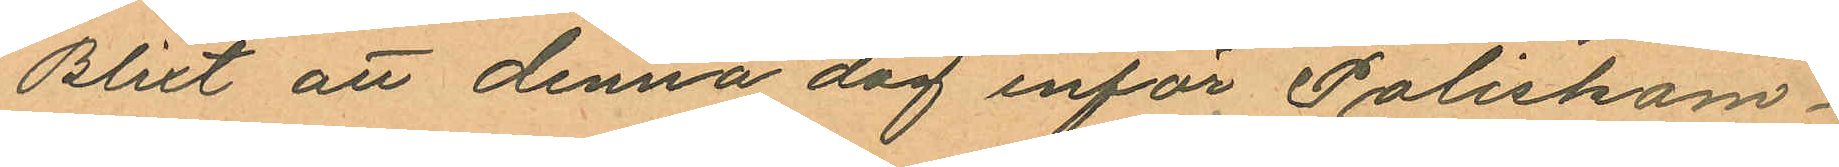Blixt att denna dag inför Poliskam¬
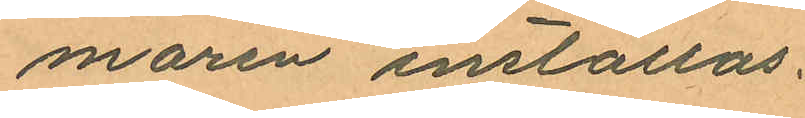maren inställas.
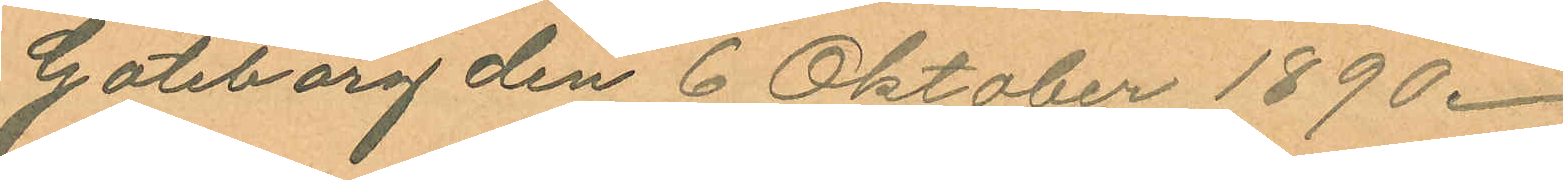Göteborg den 6 Oktober 1890.
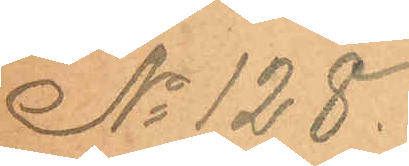No 128.
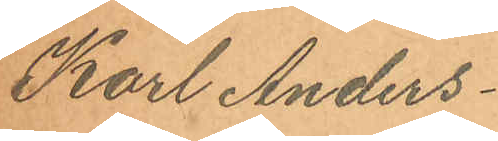Karl Anders¬
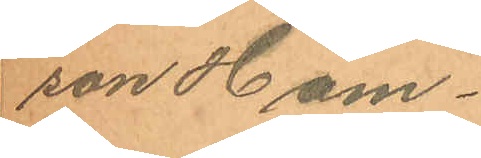son Ham¬
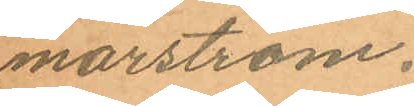marström.
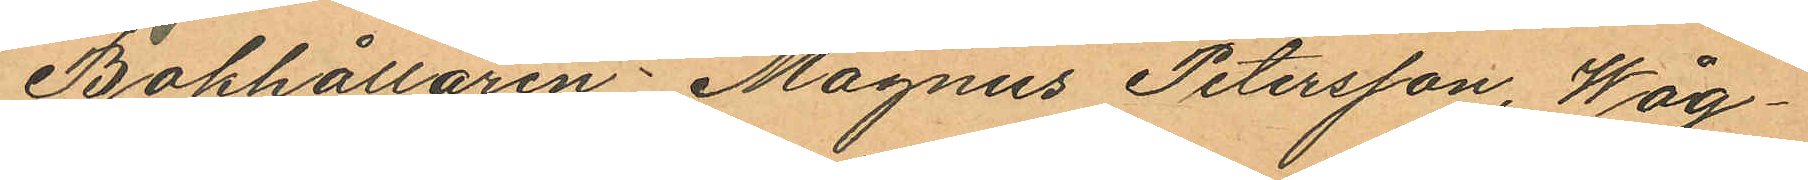Bokhållaren Magnus Petersson, Wåg¬
